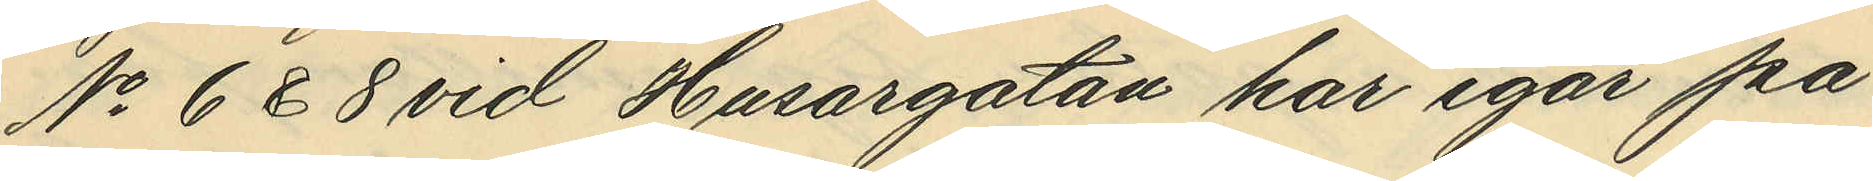No 6 & 8 vid Husargatan har igår på
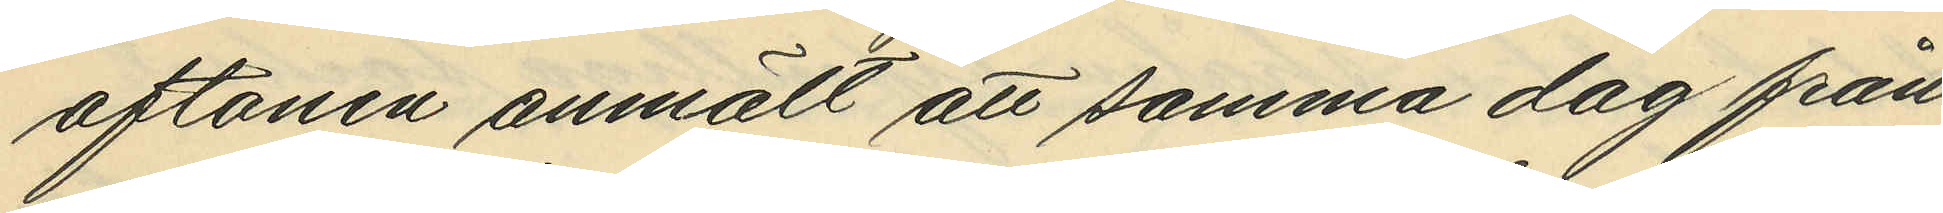aftonen anmält att samma dag från
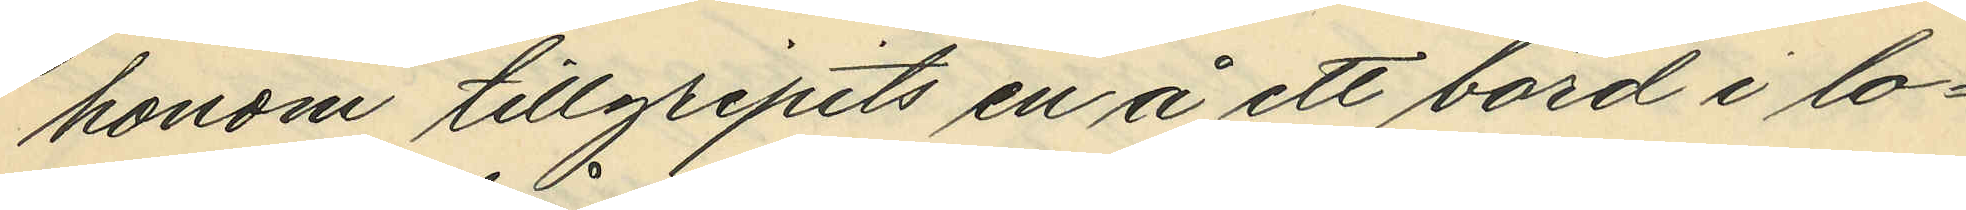honom tillgripits en å ett bord i lo¬
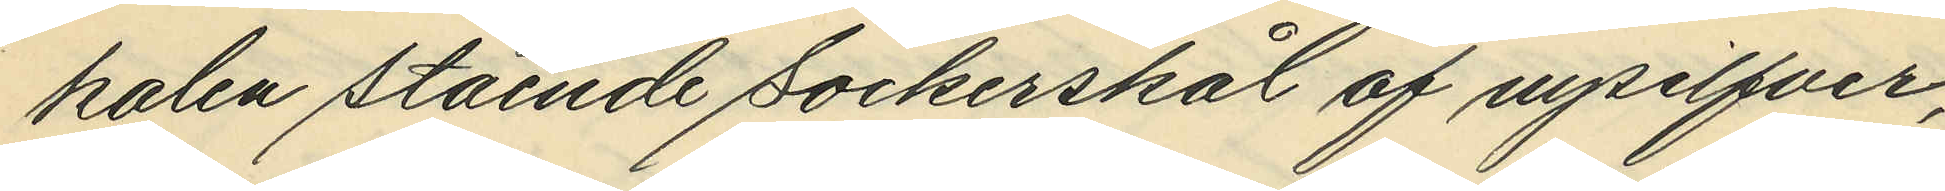kalen stående sockerskål af nysilfver,
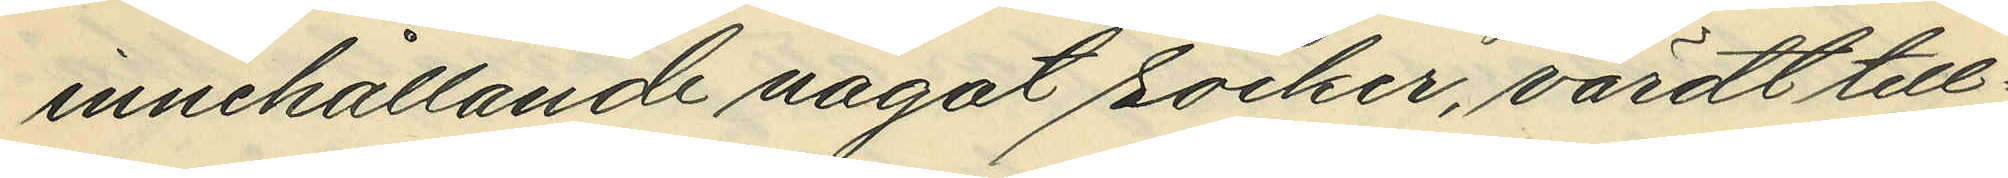innehållande något socker, värdt till¬
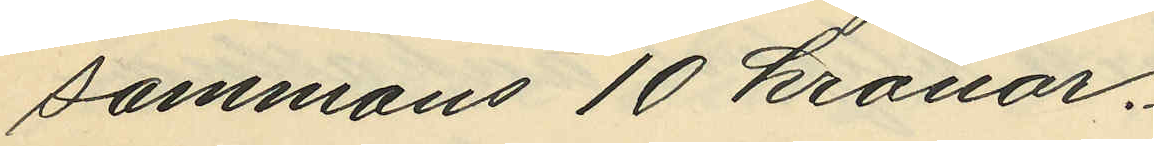sammans 10 kronor.
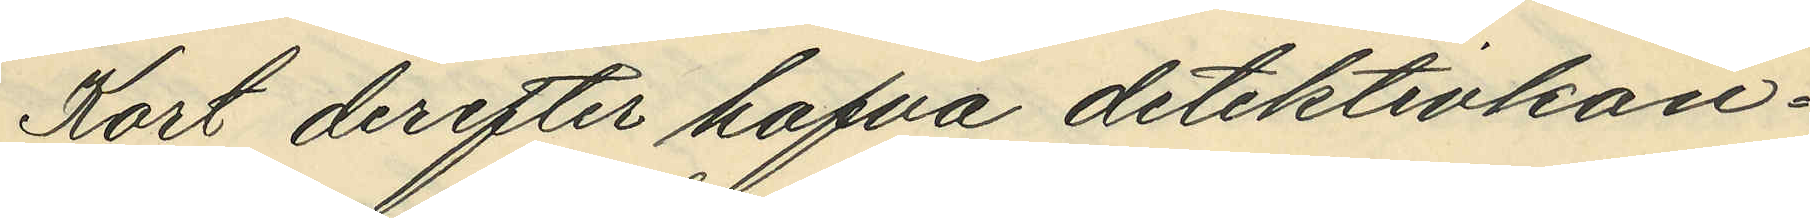Kort derfter hafva detektivkon¬
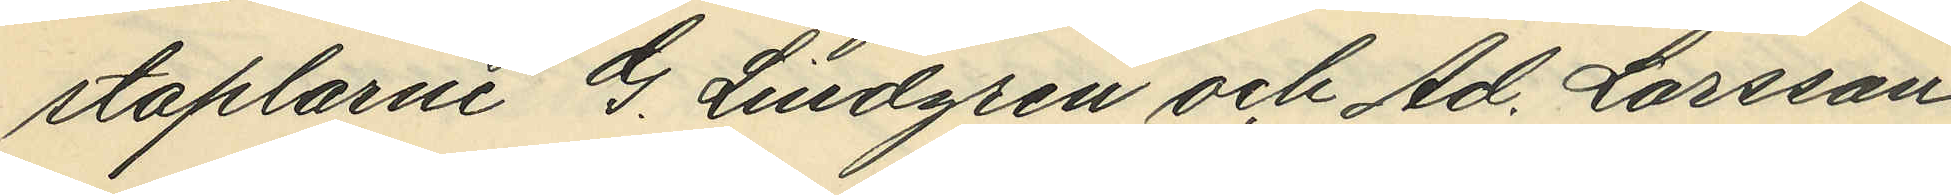staplarne G. Lindgren och Ad. Larsson
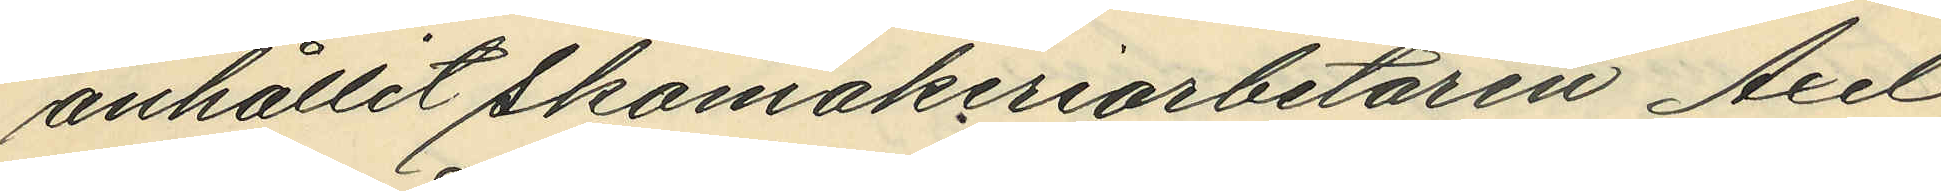anhållit skomakeriarbetaren Axel
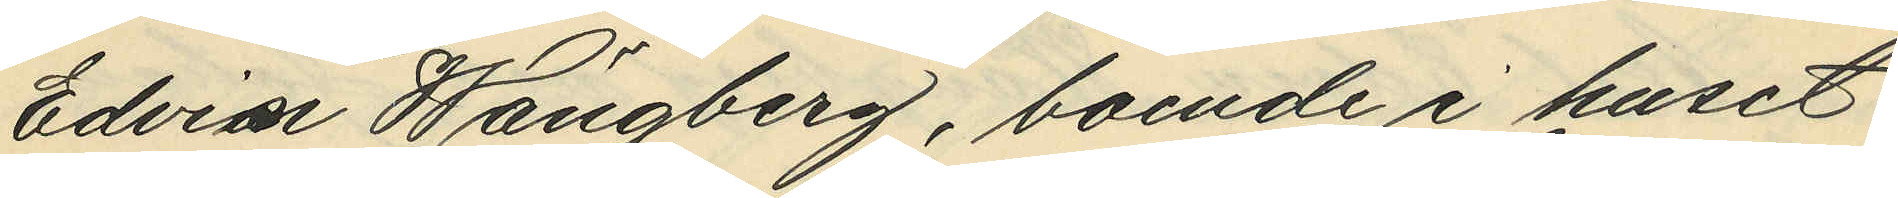Edvin Wängberg, boende i huset
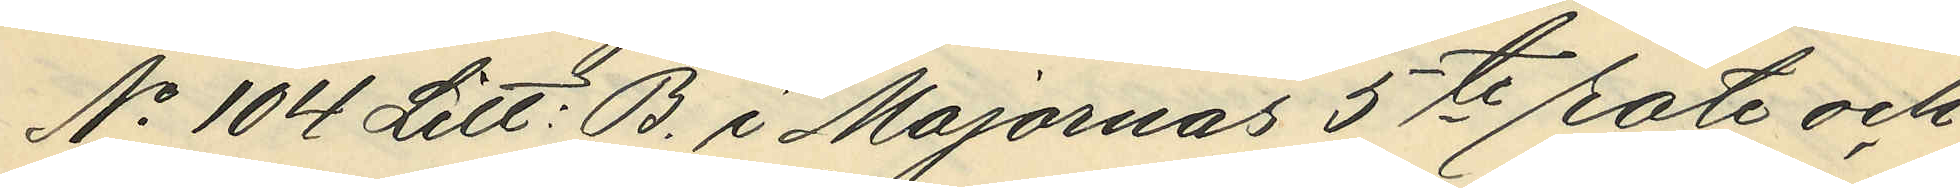No 104 Litt: B. i Majornas 5te rote och
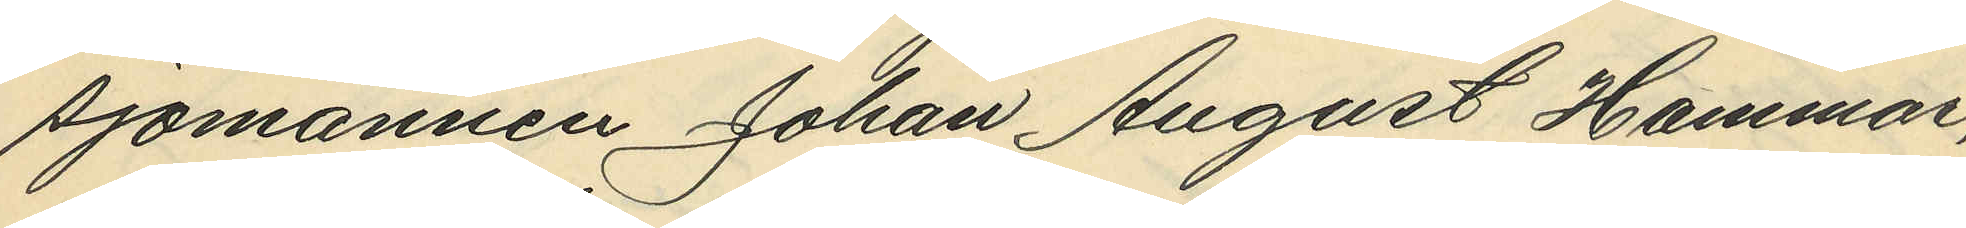sjömannen Johan August Hammar,
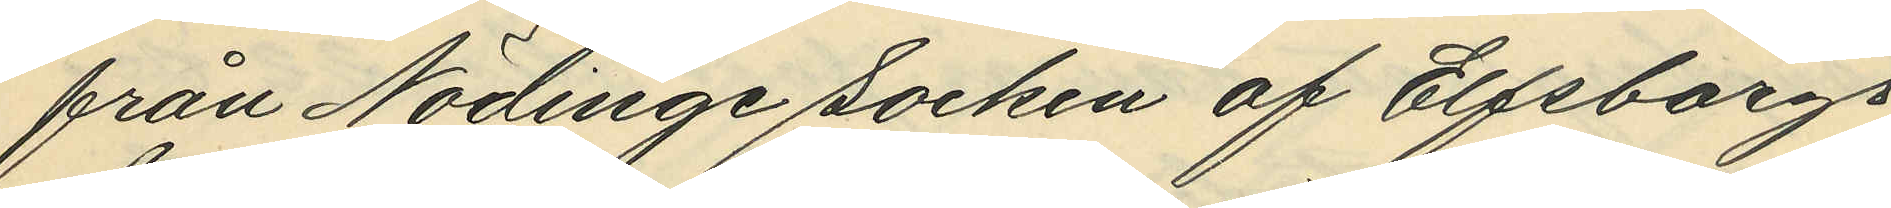från Nödinge Socken af Elfsborgs
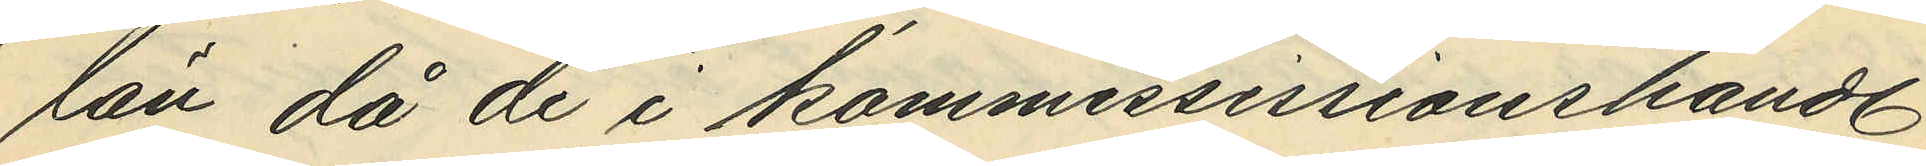län då de i kommessissionshandl.
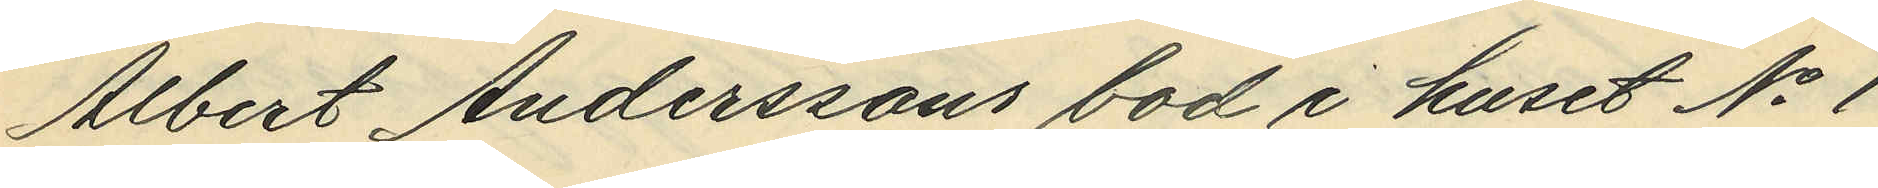Albert Anderssons bod i huset No 1
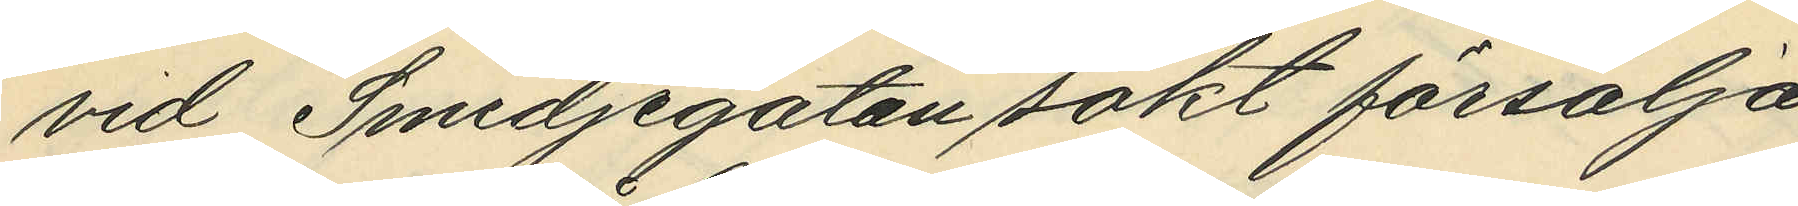vid Smedjegatan sökt försälja
